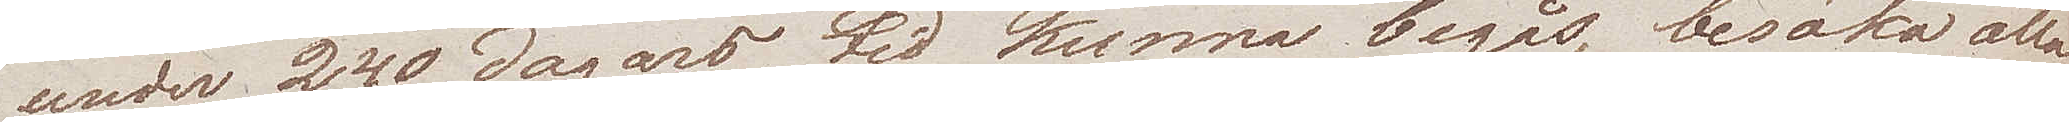under 240 dagars tid kunna begås, besöka alla
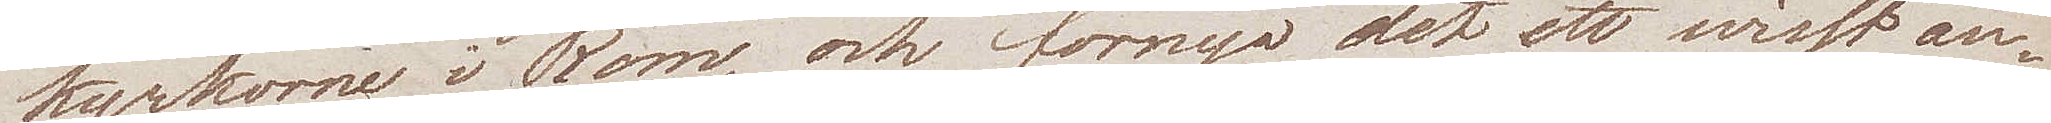kyrkorne i Rom, och förnya det ett wisst an¬
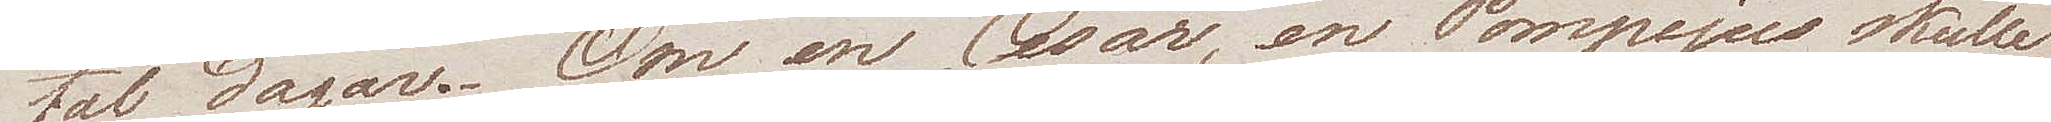tal dagar. Om en Cesar, en Pompejus skulle
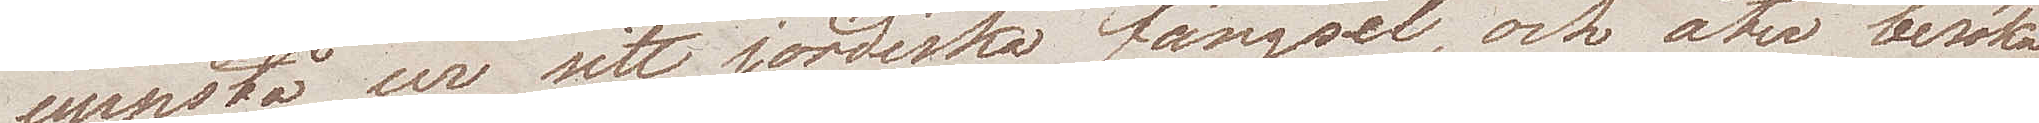uppstå ur sitt jordiska fängsel, och åter besöka
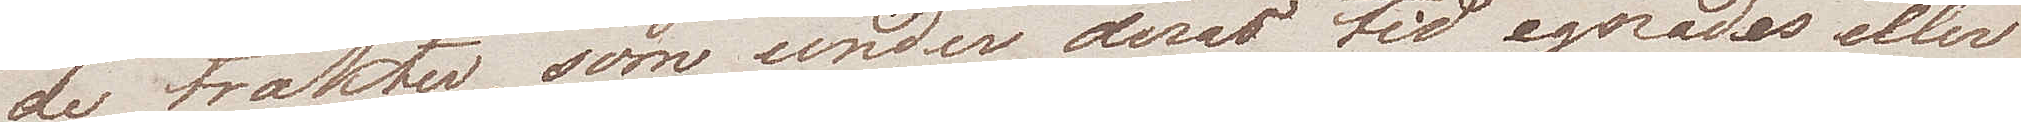de trakter, som under deras tid egnades eller
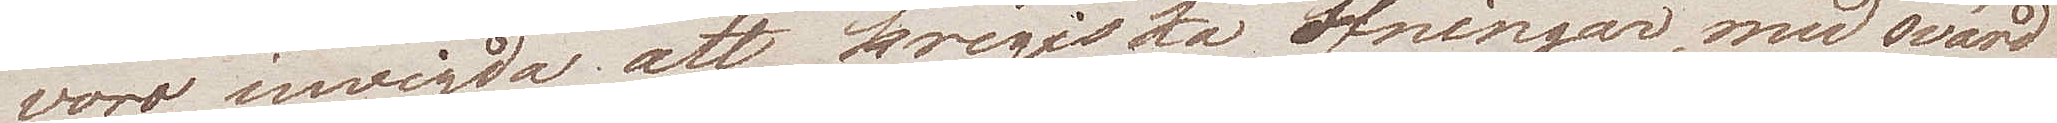voro inwigda att krigiska öfningar, med svärd
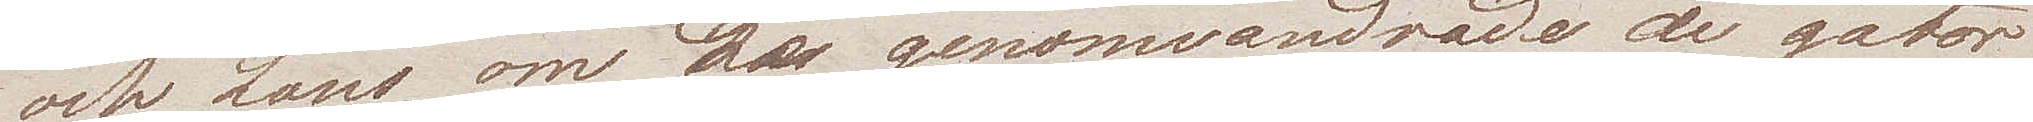och Lans, om de genomvandrade de gator
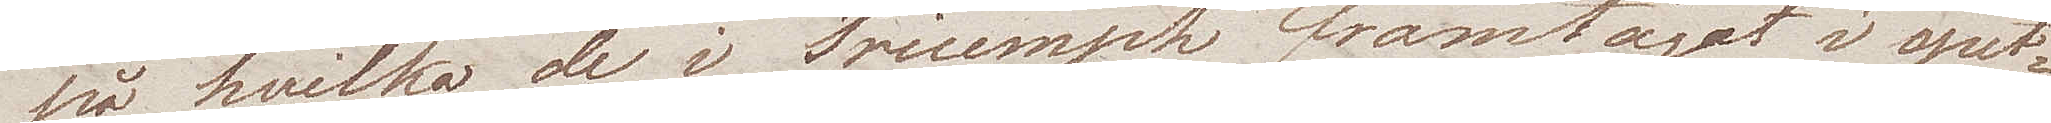på hvilka de i Triumph framtågat i spet¬
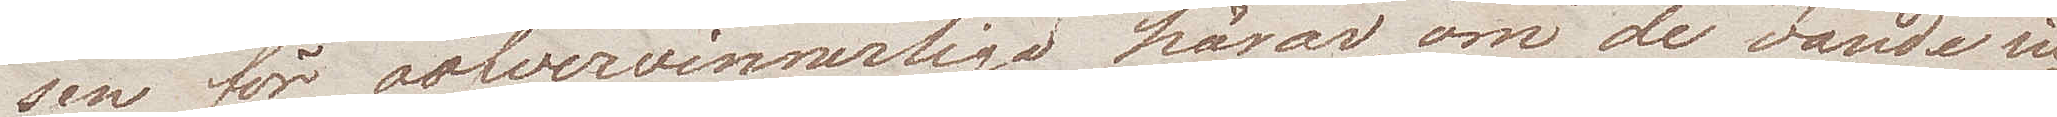sen för oöfvervinnerliga härar, om de vände si¬
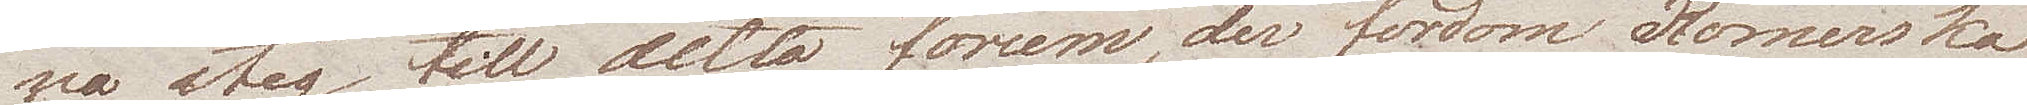na steg till detta forum, der fordom Romerska
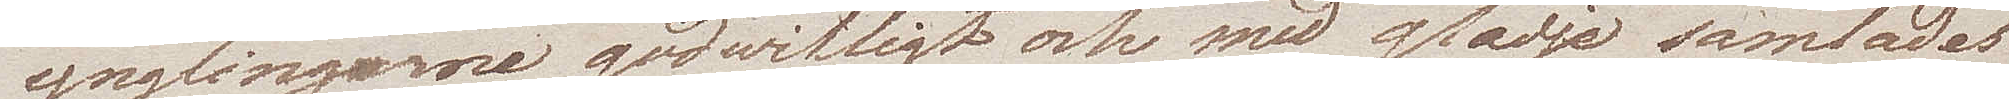ynglingarne godwilligt och med glädje samlades
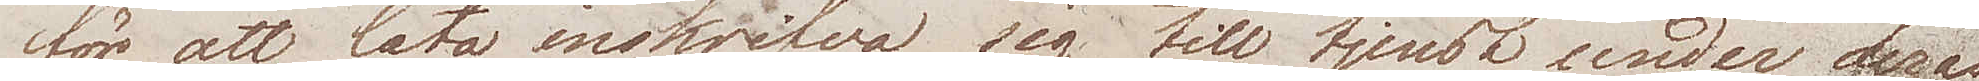för att låta inskrifva sig till tjenst under deras
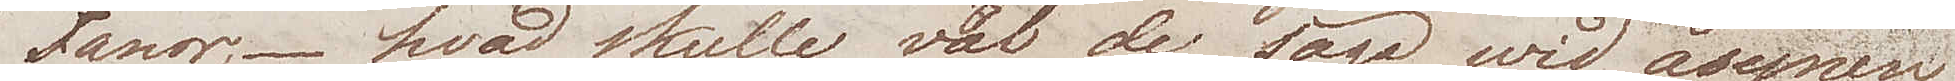fanor; – hvad skulle väl de säga wid åsynen
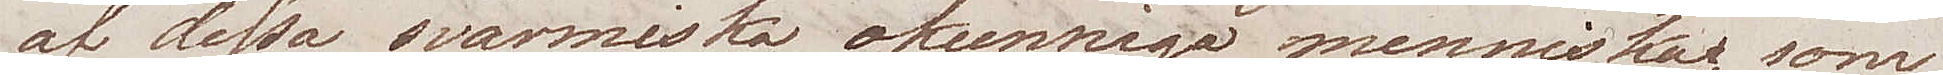af dessa svärmiska, okunniga menniskor, som
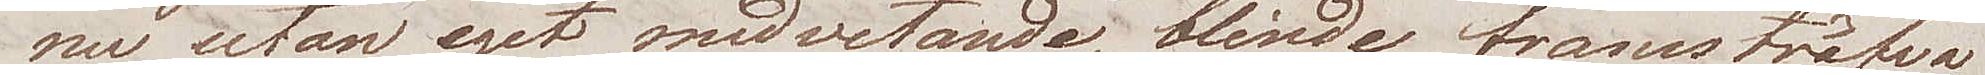nu utan eget medvetande, blinde framsträfva
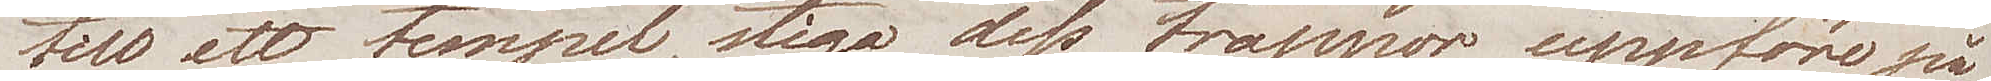till ett tempel, stiga dess trappor uppföre på
